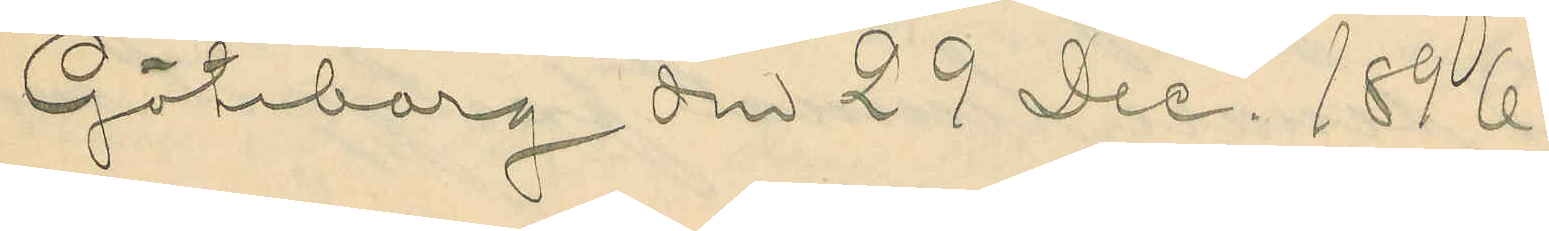Göteborg den 29 Dec. 1896.
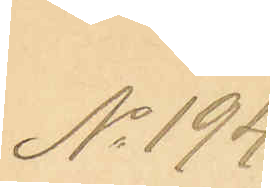No 194.
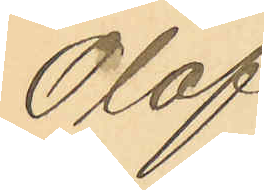Olof
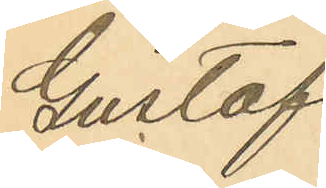Gustaf
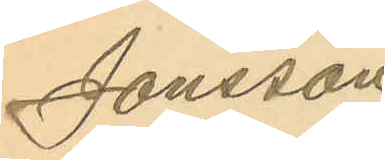Jonsson
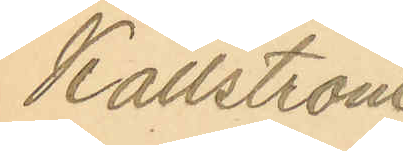Källström
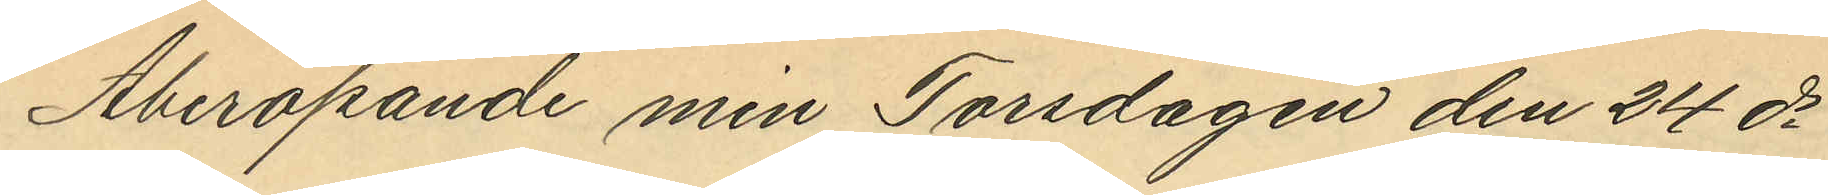Åberopande min Torsdagen den 24 ds
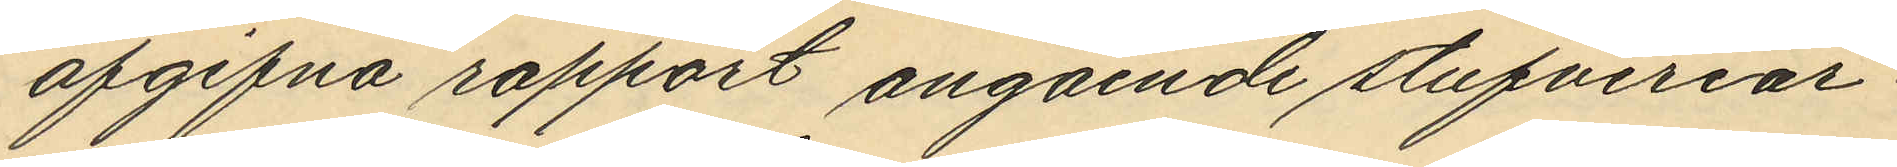afgifna rapport angående stufveriar¬
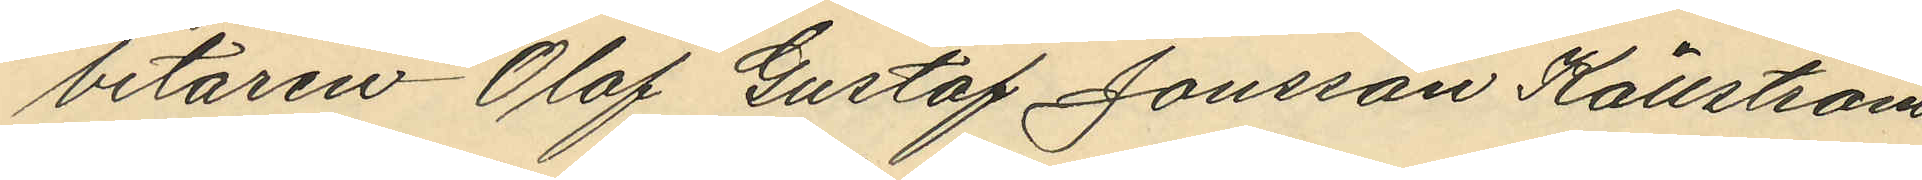betaren Olof Gustaf Jonsson Källström
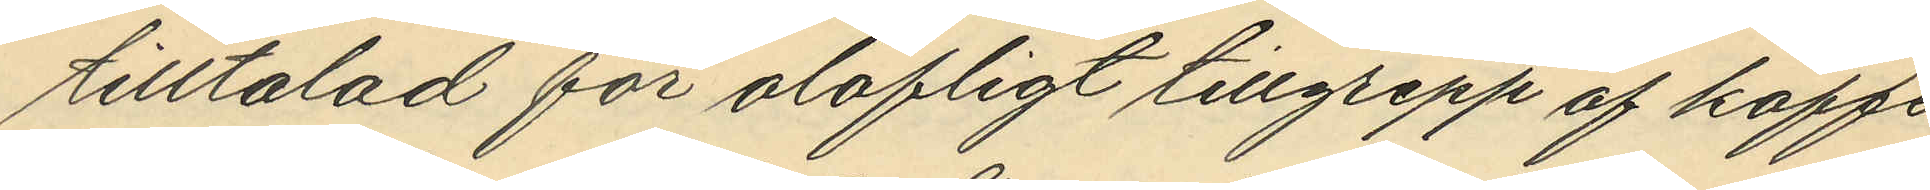tilltalad för olofligt tillgrepp af kaffe
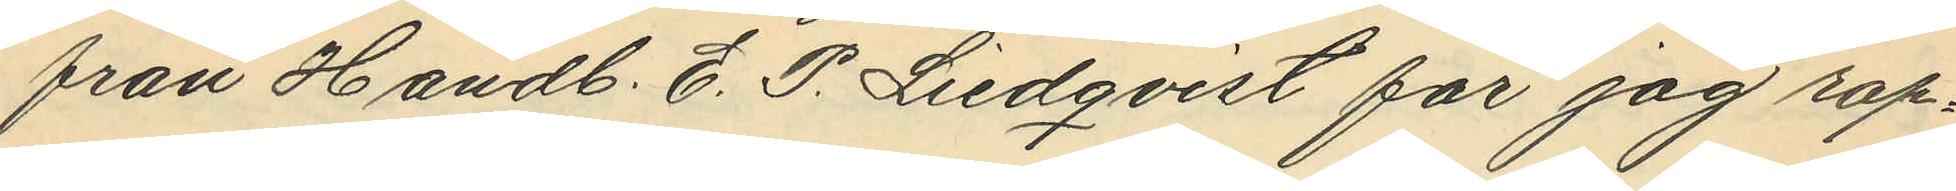från Handl. E. P. Liedqvist får jag rap¬
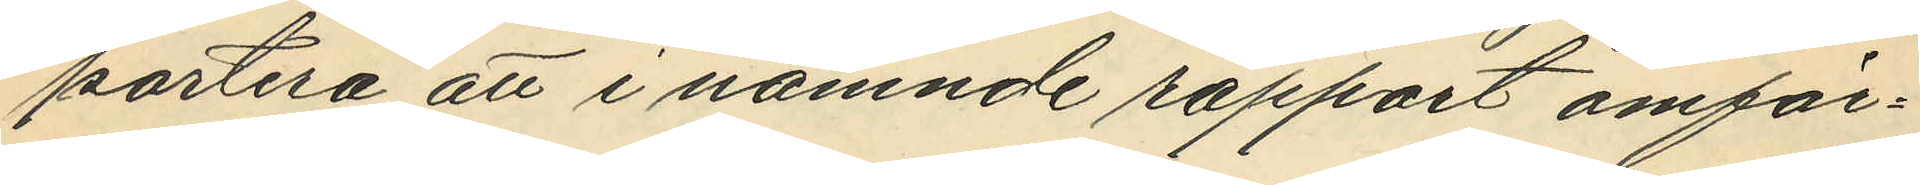portera att i nämnde rapport omför¬
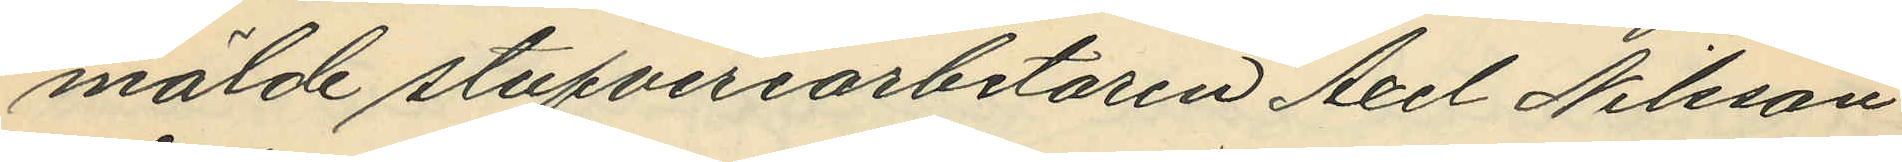mälde stufveriarbetaren Axel Nilsson
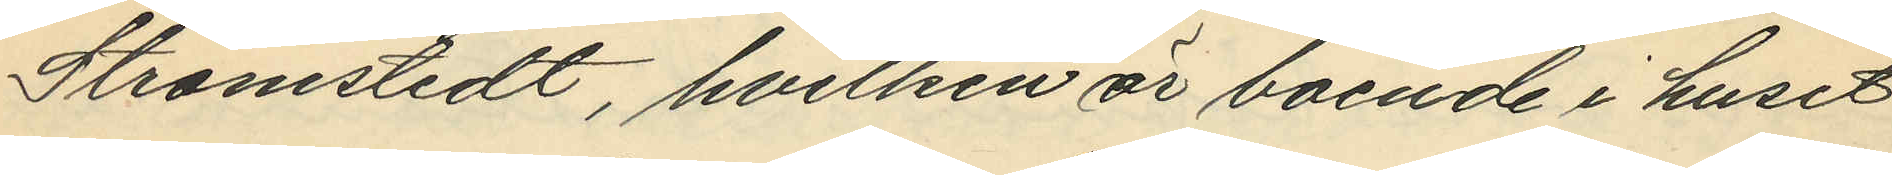Strömstedt, hvilken är boende i huset
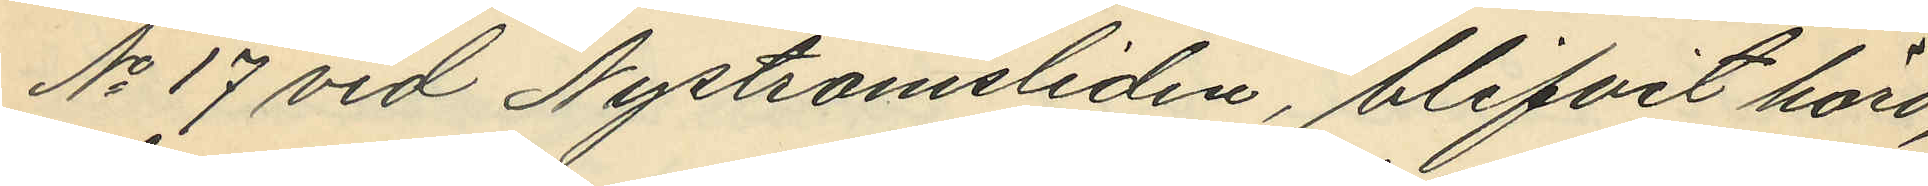No 17 vid Nyströmsliden, blifvit hörd,
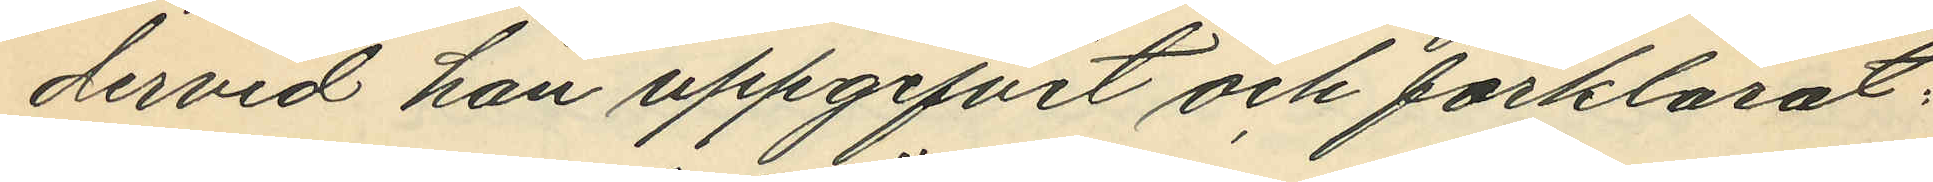dervid han uppgifvit och förklarat:
